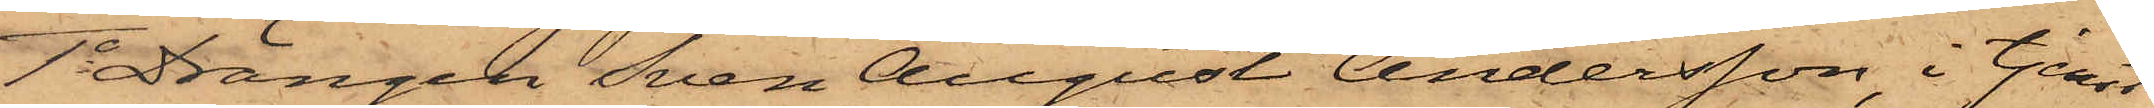1o Drängen Sven August Andersson, i tjenst
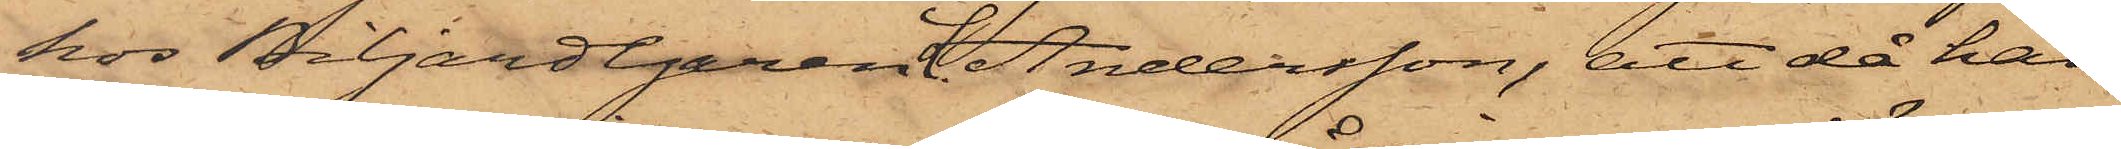hos Biljardegaren L. Andersson, att då han
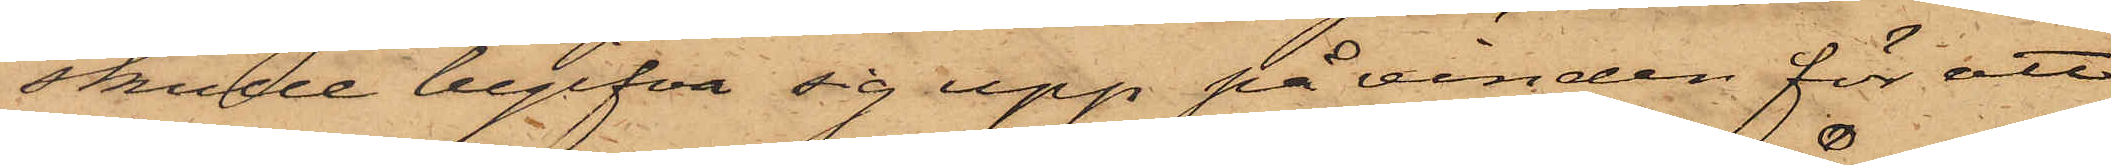skulle begifva sig upp på vinden för att
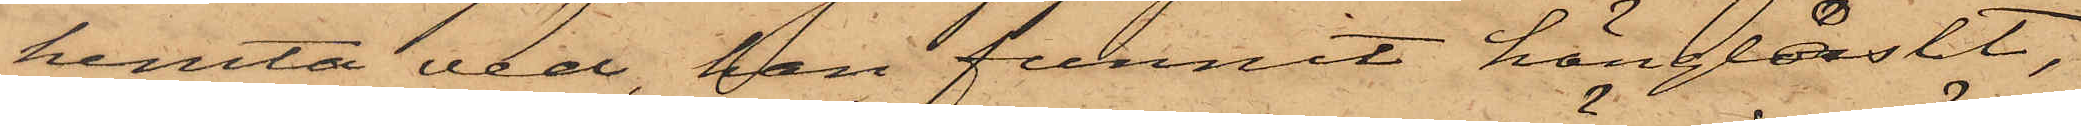hemta ved, han funnit hänglåset,
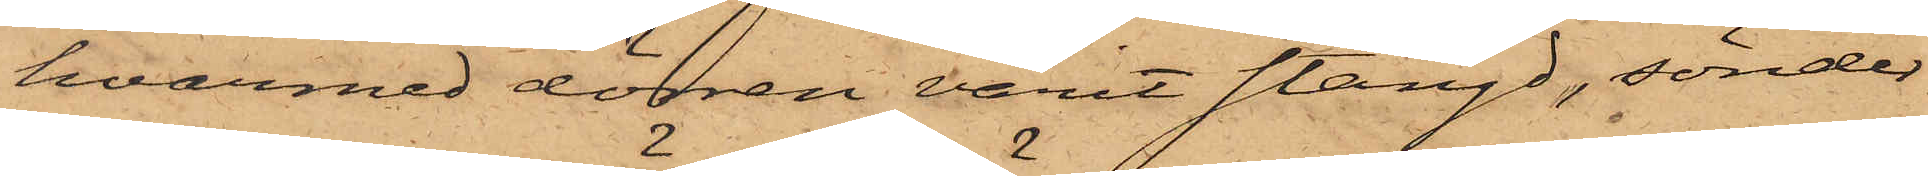hvarmed dörren varit stängd, sönder¬
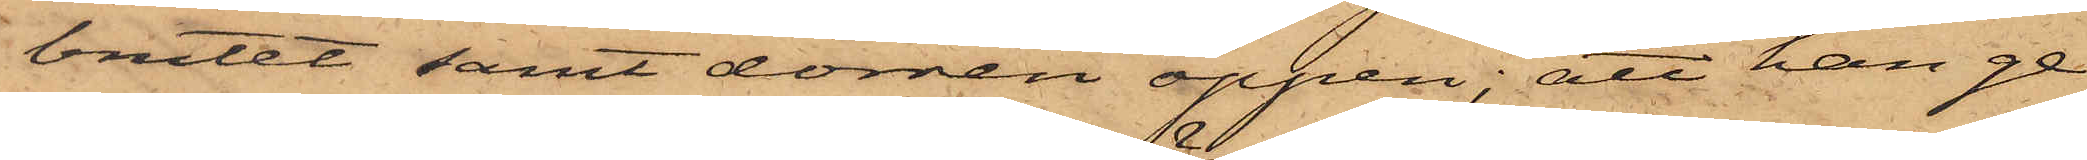brutet samt dörren öppen; att han ge¬
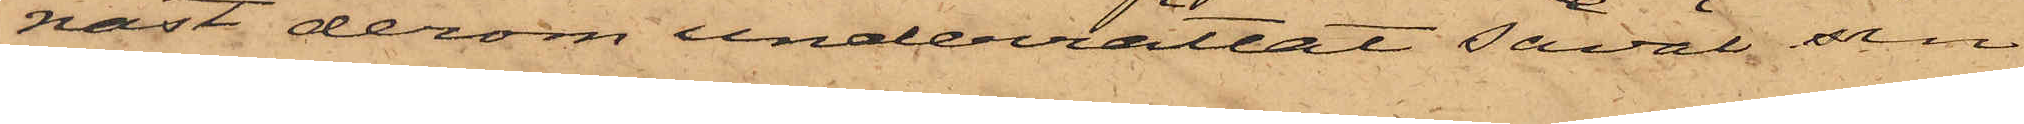nast derom underrättat såväl sin
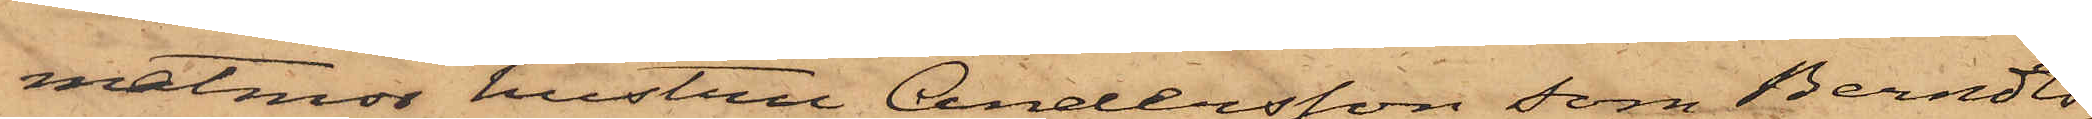matmor hustru Andersson som Berndts¬
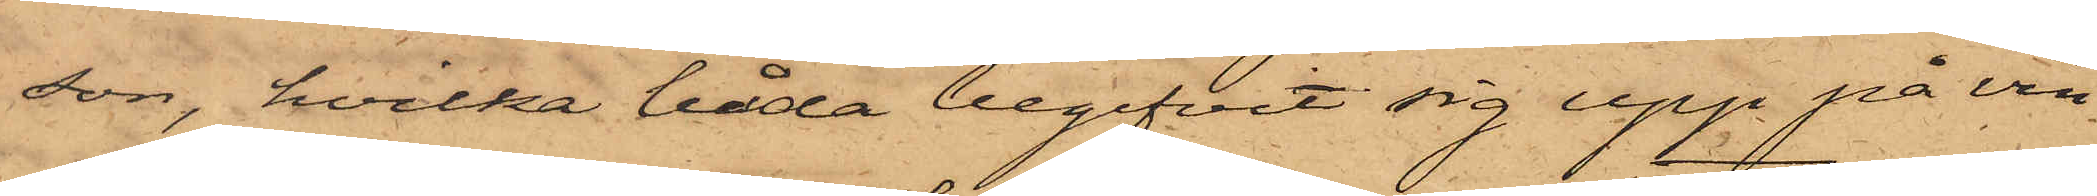son, hvilka båda begifvit sig upp på vin¬
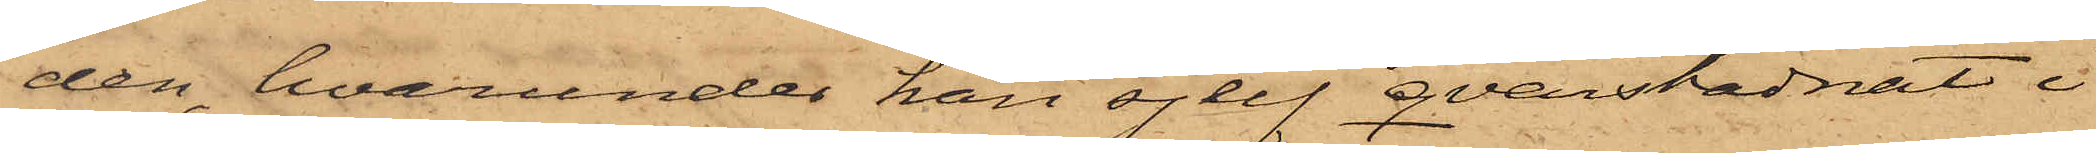den, hvarunder han sjelf qvarstadnat i
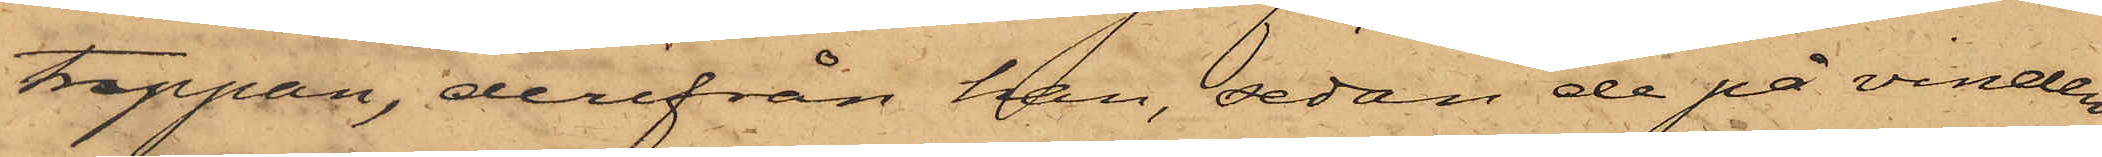trappan, derifrån han, sedan de på vinden
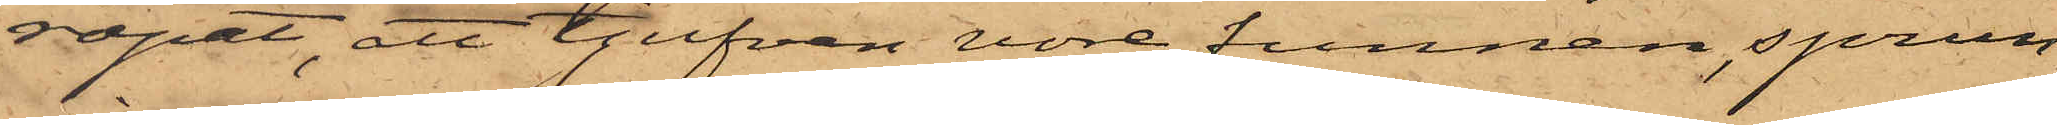ropat, att tjufven vore funnen, sprun¬
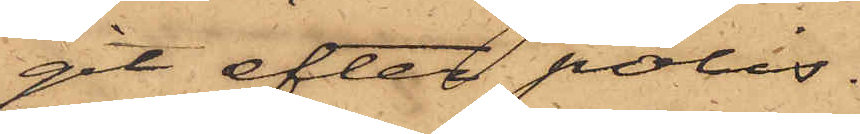git efter polis.
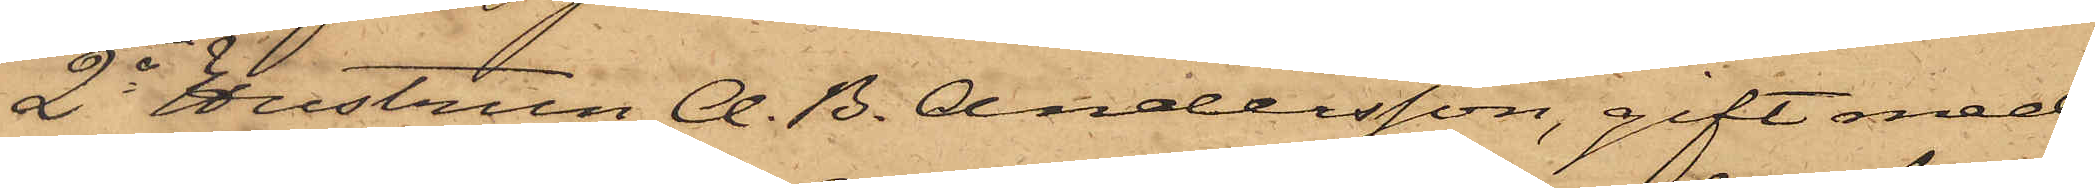2o hustrun A. B. Andersson, gift med
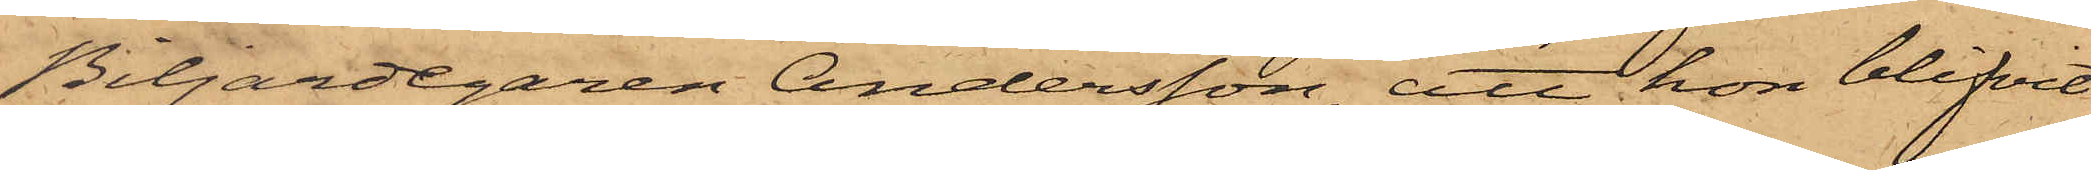Biljardegaren Andersson, att hon blifvit
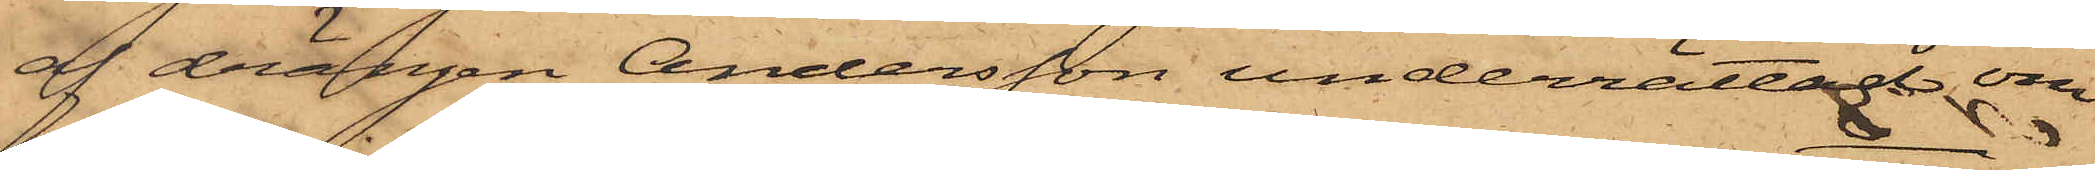af drängen Andersson underrättad om
